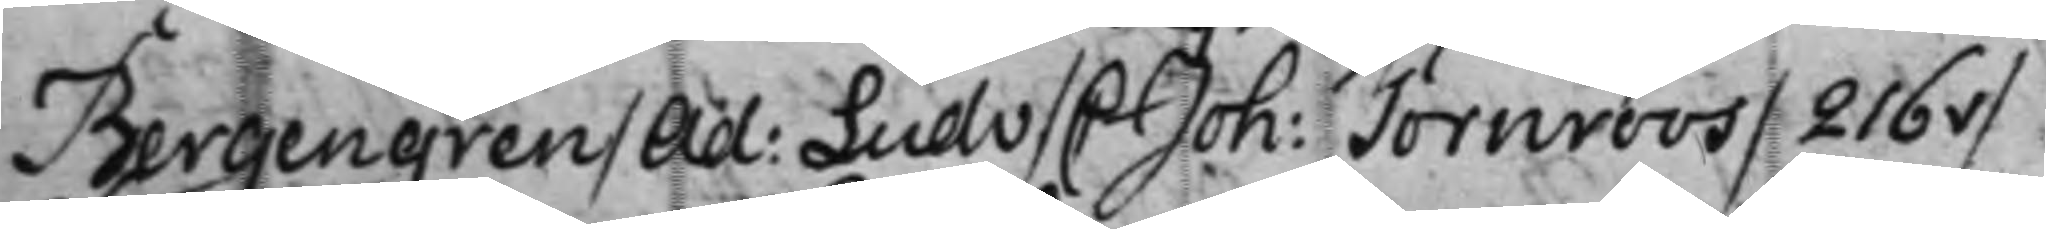Bergengren / Ad Ludv: / C Joh: Törnroos / 216v / 
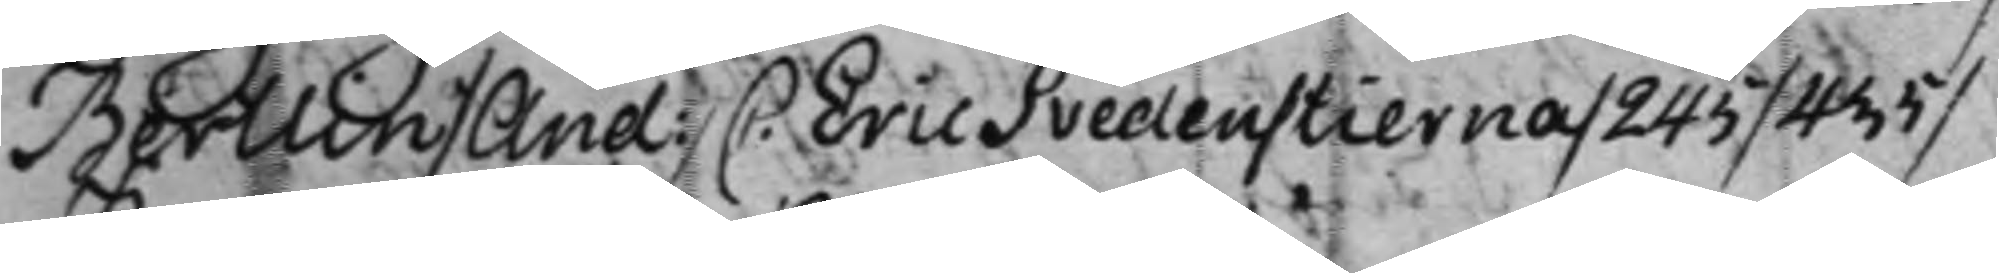Bertlin / And: / C. Eric Svedenstierna / 245 / 435 / 
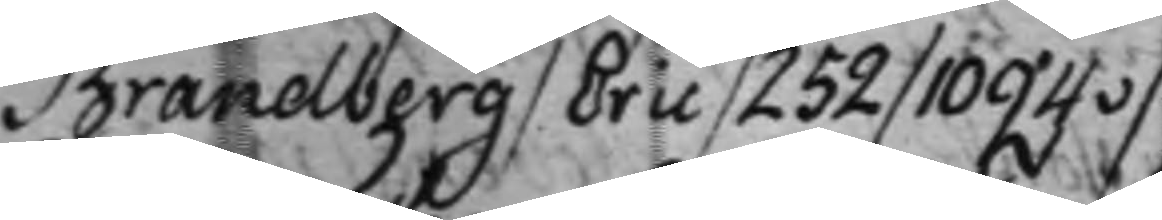Brandberg / Eric / 252 / 1094v /
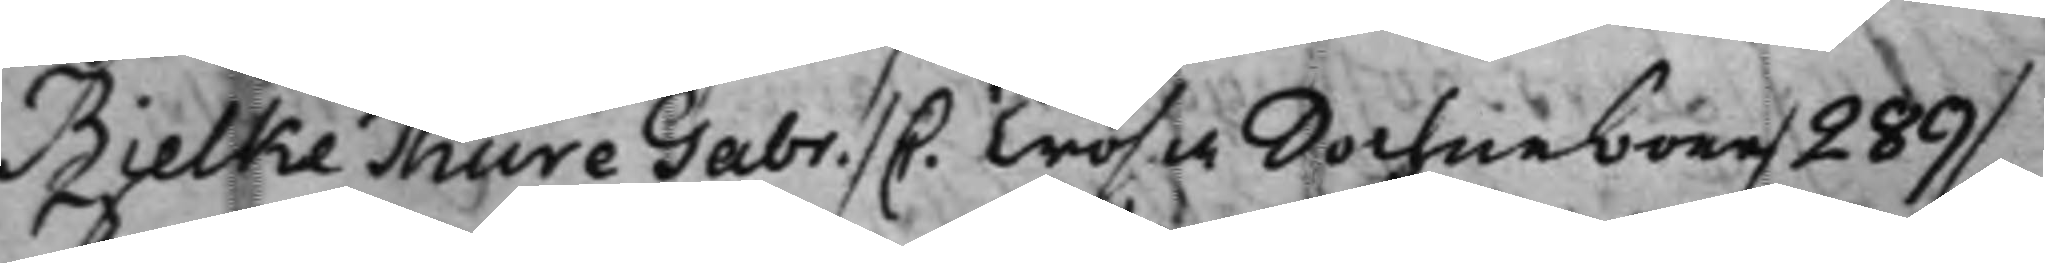Bielke Thure Gabr. / C. Trosa Sochneboer / 289 / 
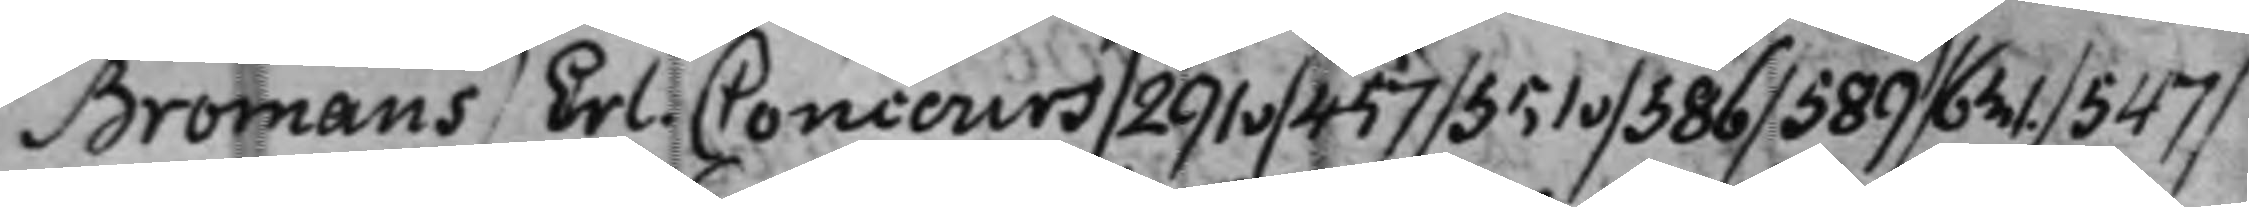Bromans / Erl. Concours / 291v / 451 / 551v / 386 / 589 / 631. / 547 / 
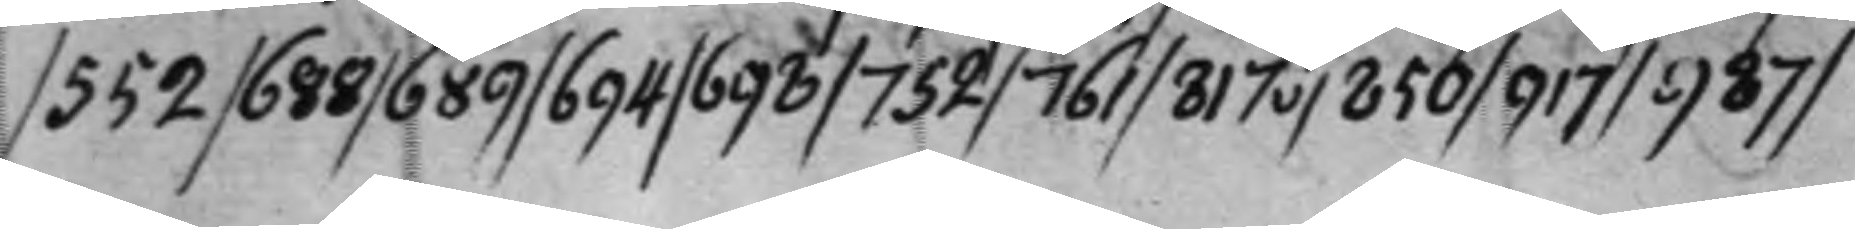/ 552 / 688 / 689 / 694 / 698 / 752 / 761 / 817v / 850 / 917 / 987 /
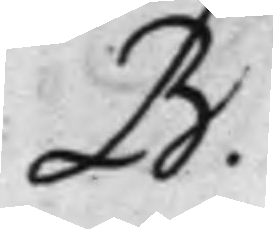B. 
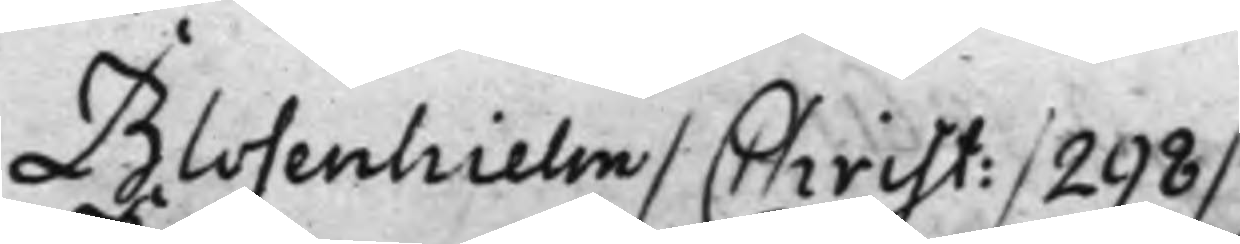Blosenhielm / Christ: / 298 / 
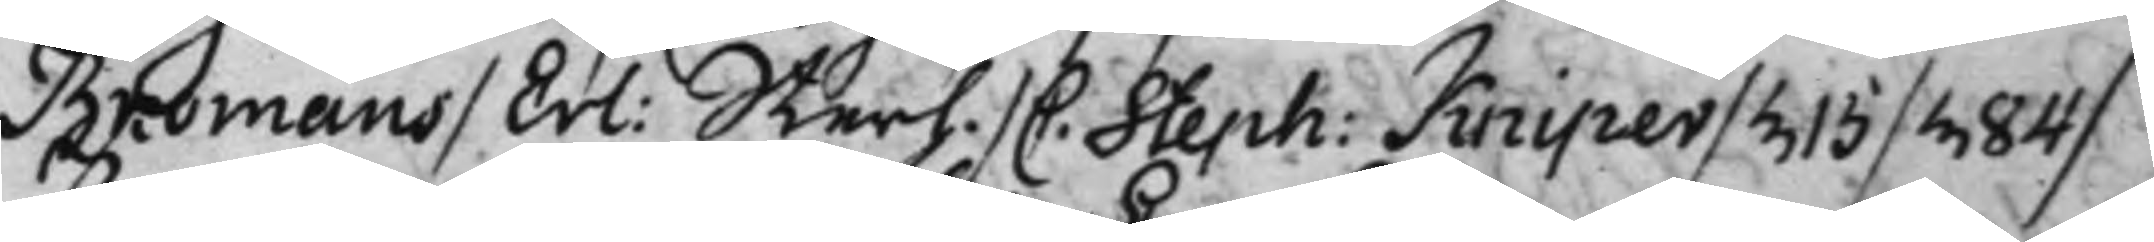Bromans / Erl: Sterh. C: Seph: Kniper / 315 / 384 / 
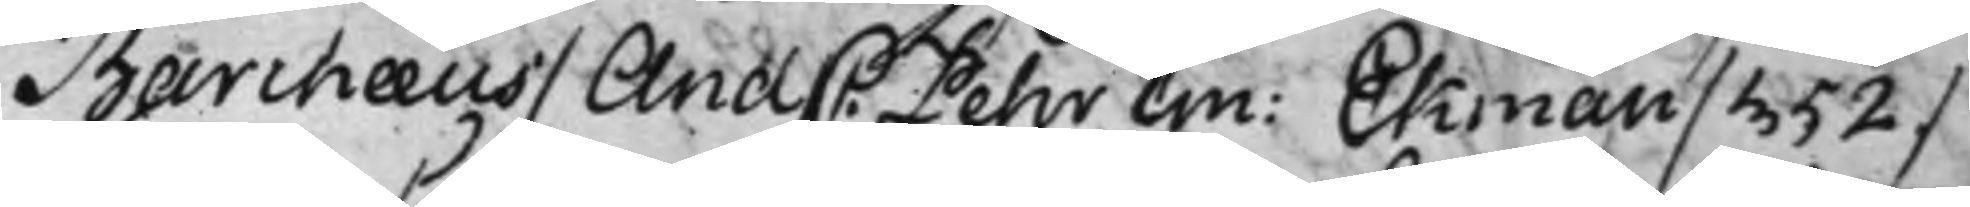Barchæus / And C. Pehr Em: Ekman / 352 / 
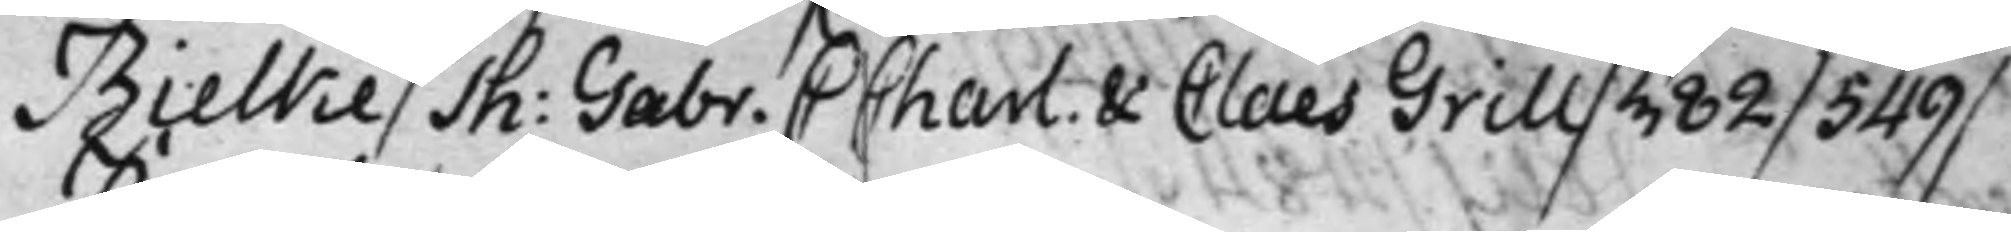Bielke / Jh: Gabr: C Charl. & Claes Grill / 382 / 549 / 
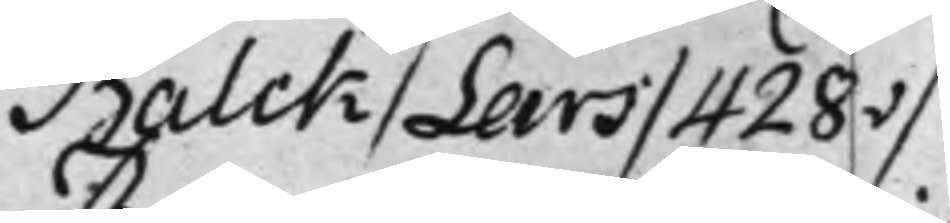Balck / Lars / 428v /
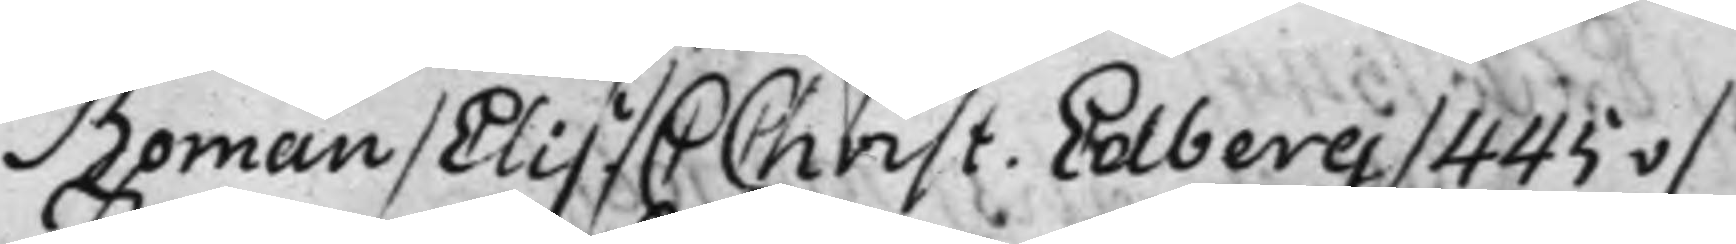Boman / Elis. / C Christ. Edberg / 445v /
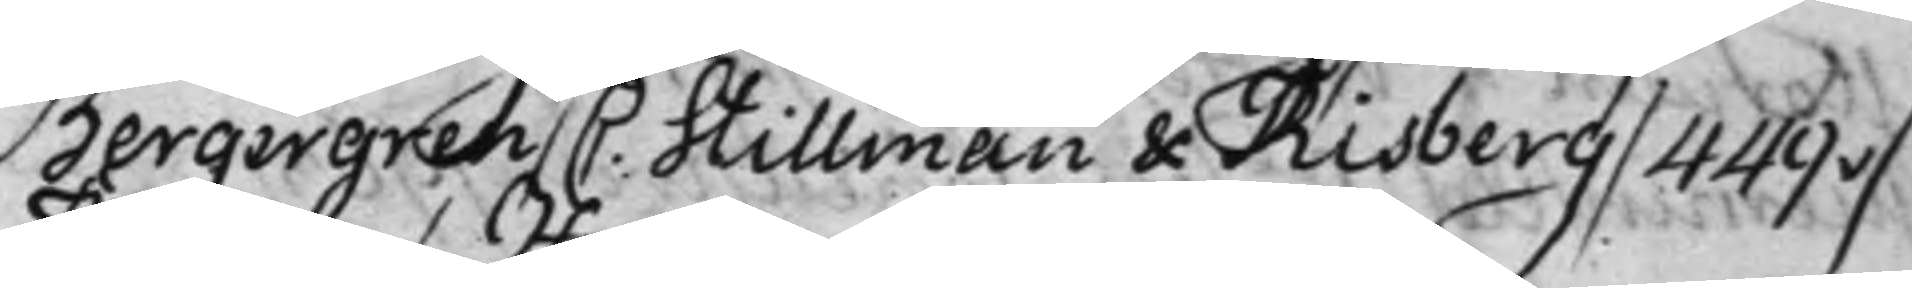Bergergren / C. Stillman & Risberg / 449v / 
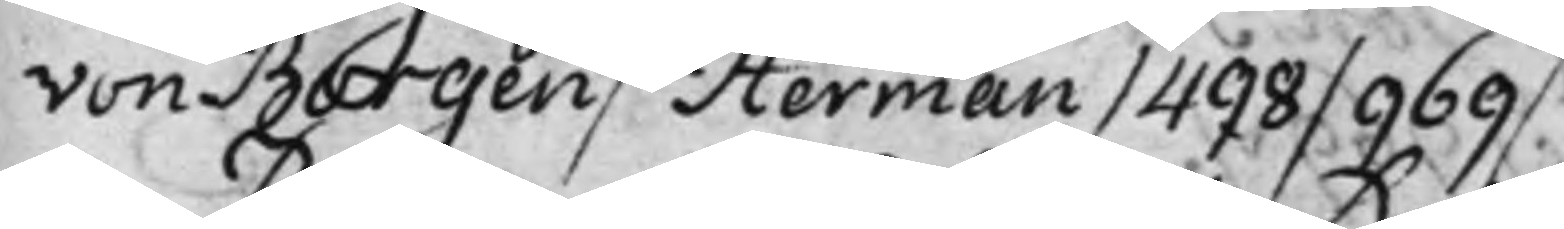von Borgen / Herman / 498 / 969 /.
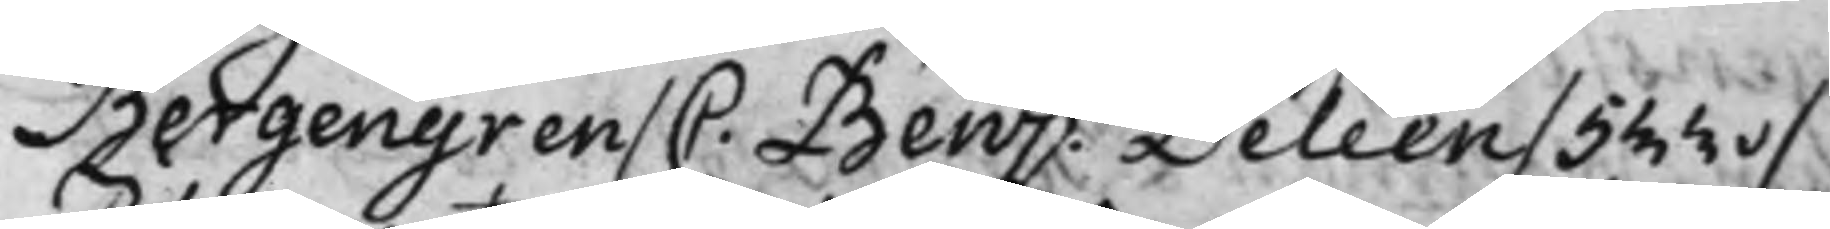Bergengren / C. Benj: Deléen / 533v / 
